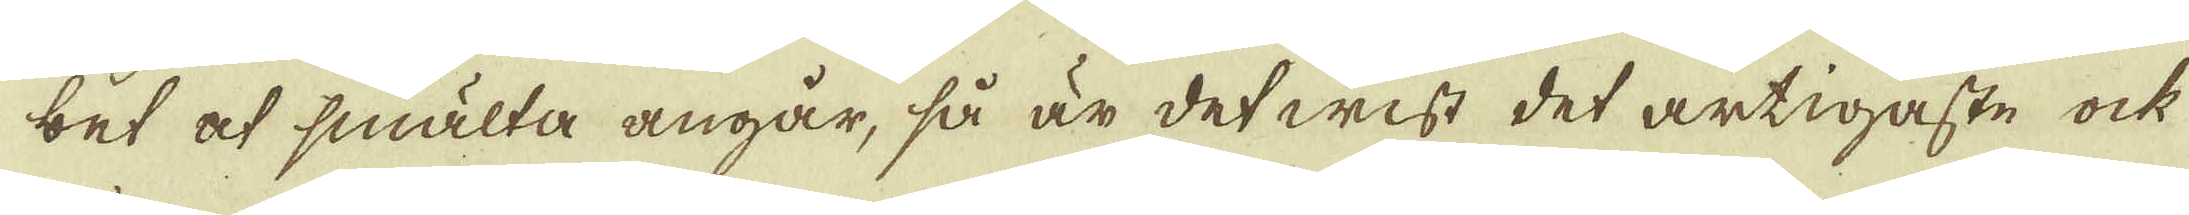bet at smälta angår, så är det wisst det artigaste ock
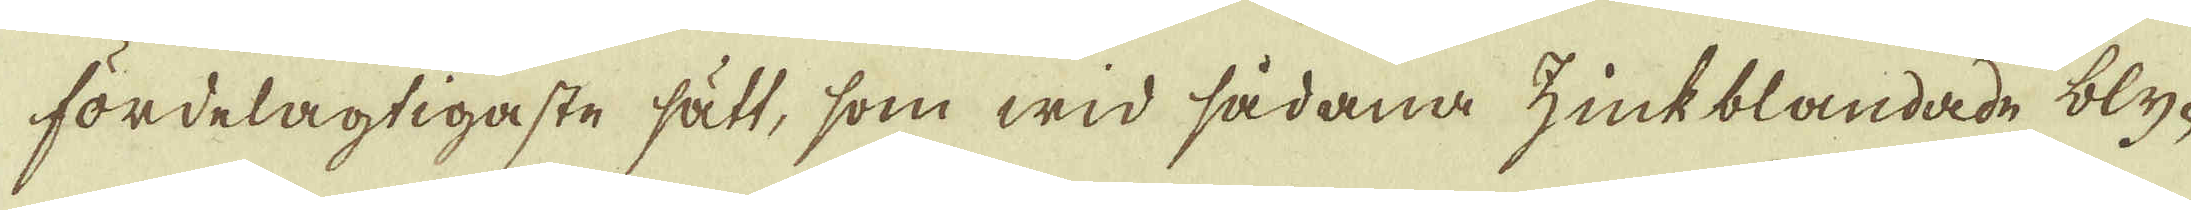fördelagtigaste sätt, som wid sådana zinkblandade bly-
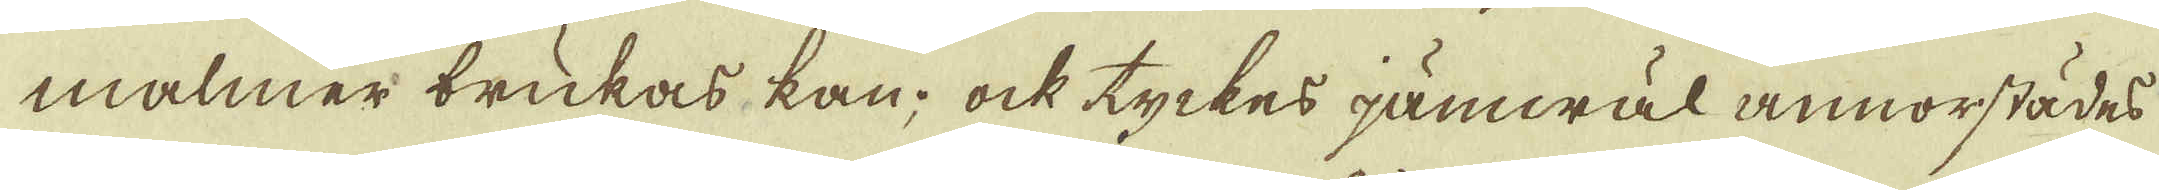malmer brukas kan; ock tyckes jämwäl annorstädes
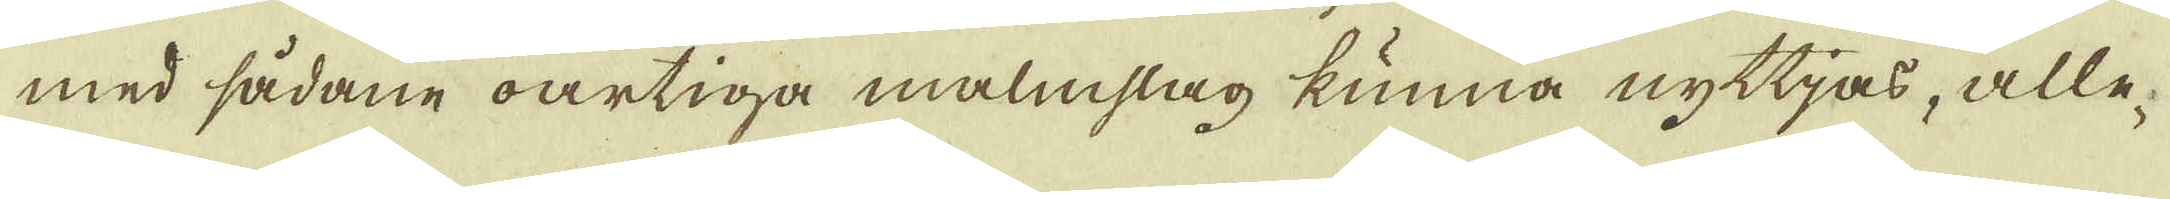med sådane oartiga malmslag kunna nyttjas, alle-
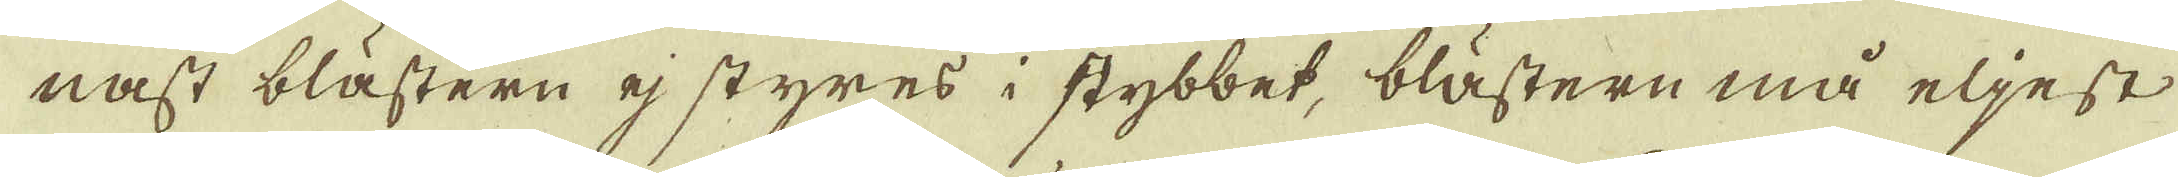nast blästern ej styres i stybbet, blästern må eljest
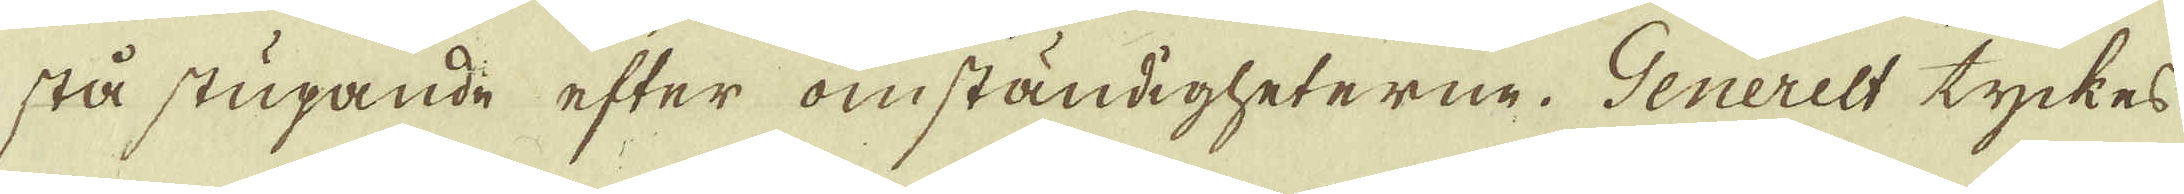stå stupande efter omständigheterne. Generelt tyckes
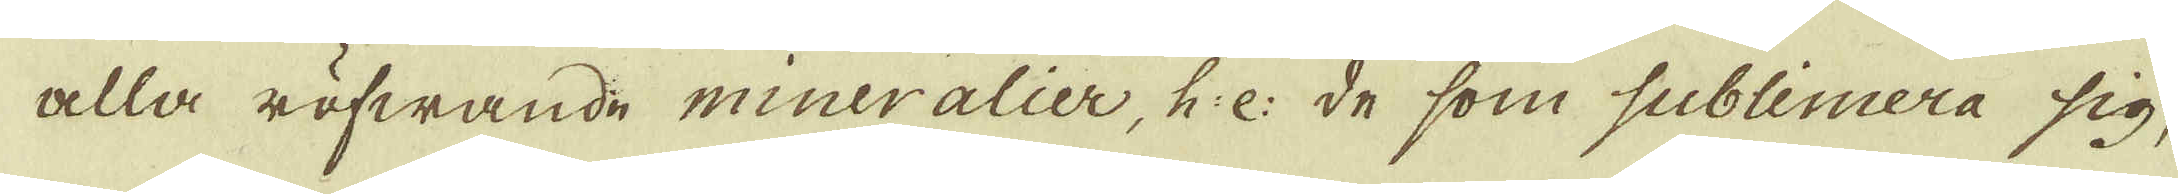alla röfwande mineralier, h:e: de som sublimera sig,
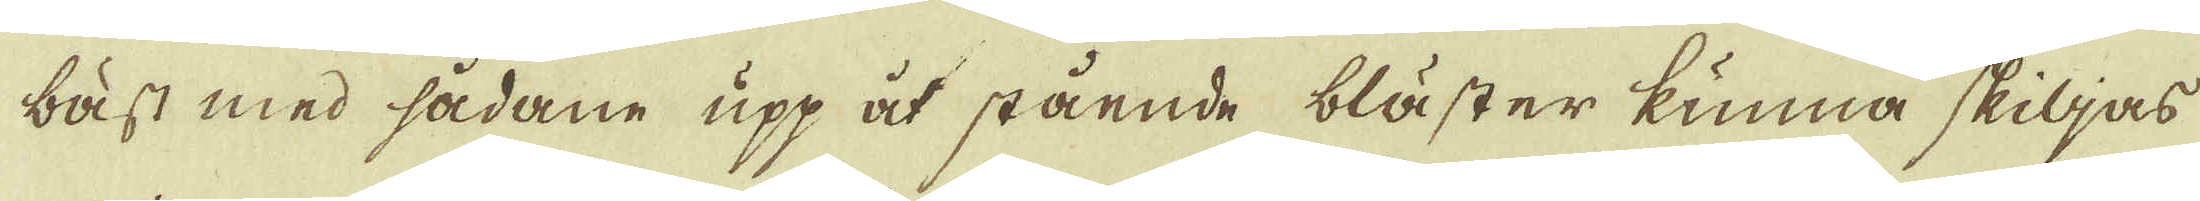bäst med sådane upp åt stående bläster kunna skiljas
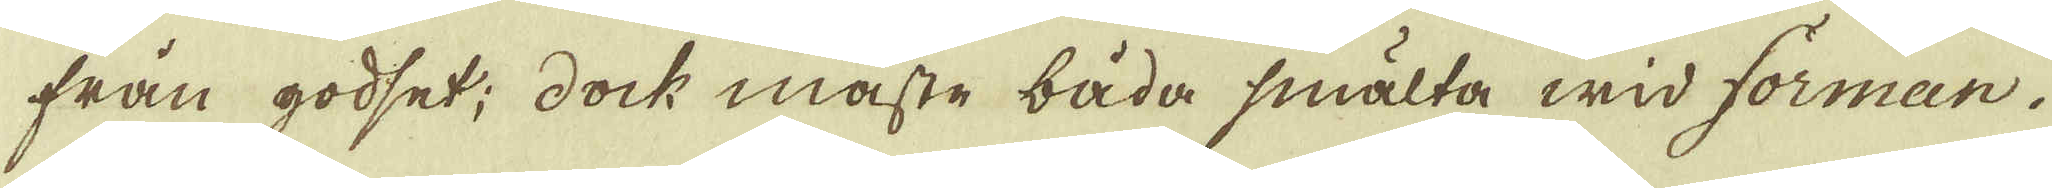från godset; dock måste båda smälta wid forman.
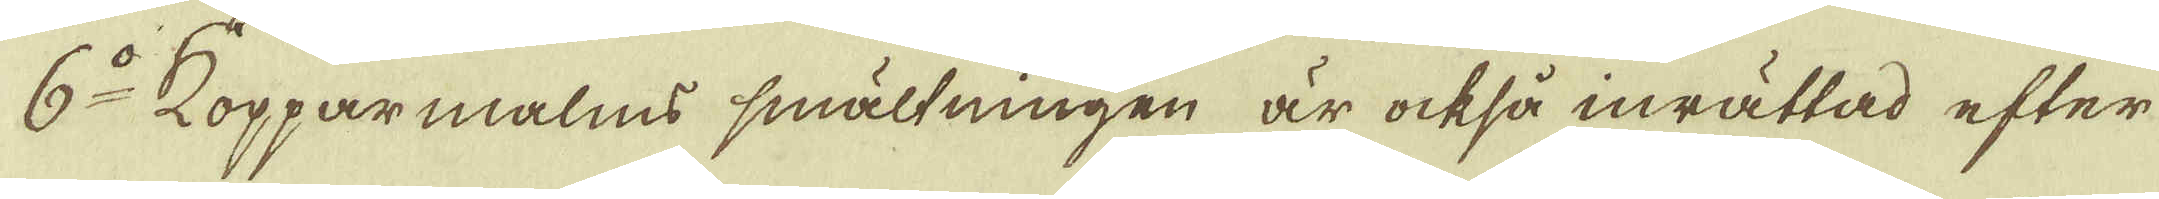6:o Kopparmalms smältningen är också inrättad efter
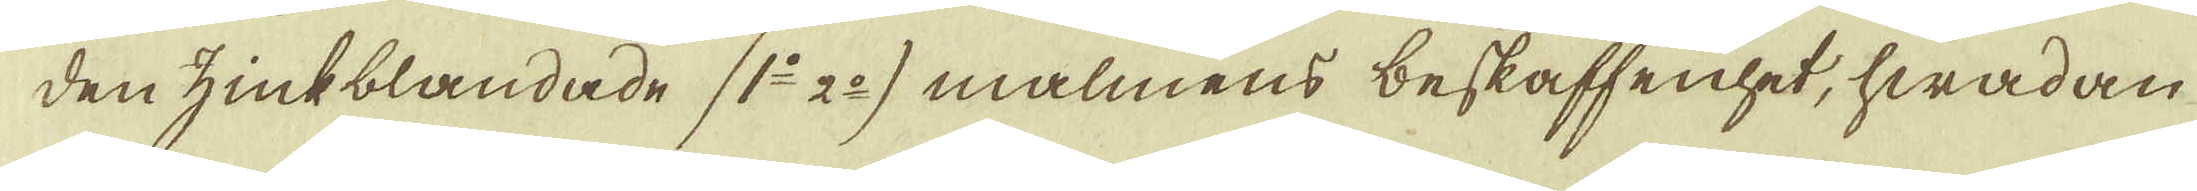den zinkblandade (1:o 2:o) malmens beskaffenhet, hwadan
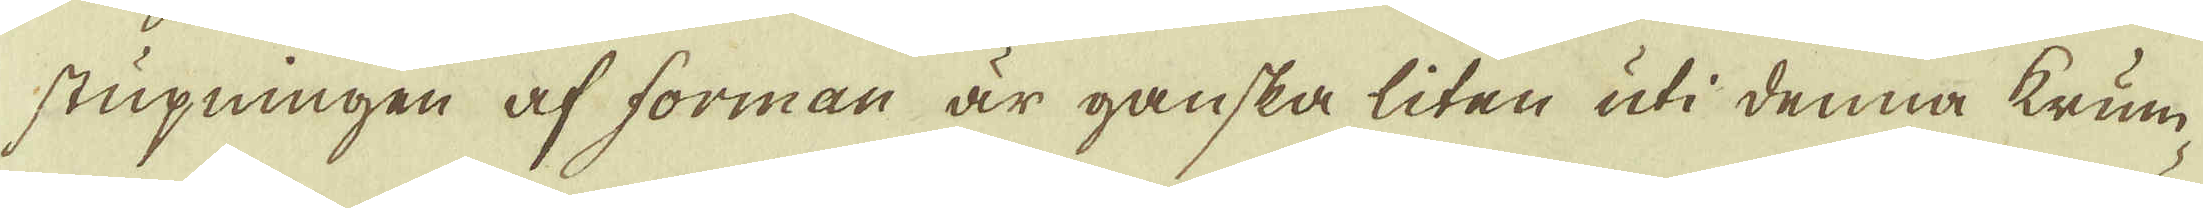stupningen af forman är ganska liten uti denna krum-
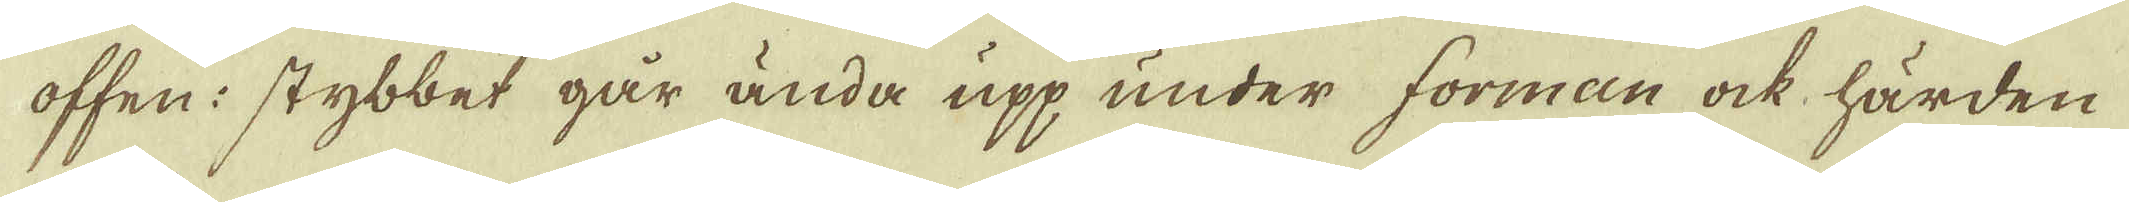offen: stybbet går ända upp under forman ock härden
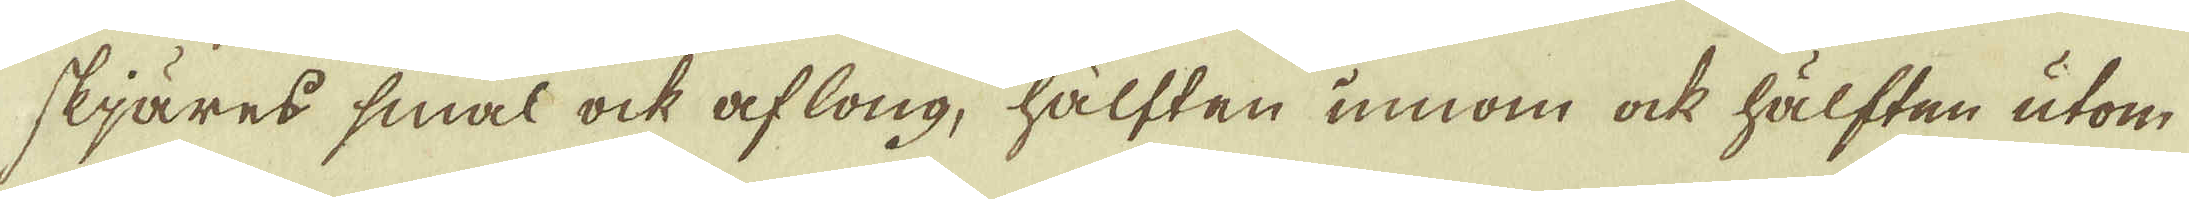skjäres smal ock aflong, hälften innom ock hälften utom
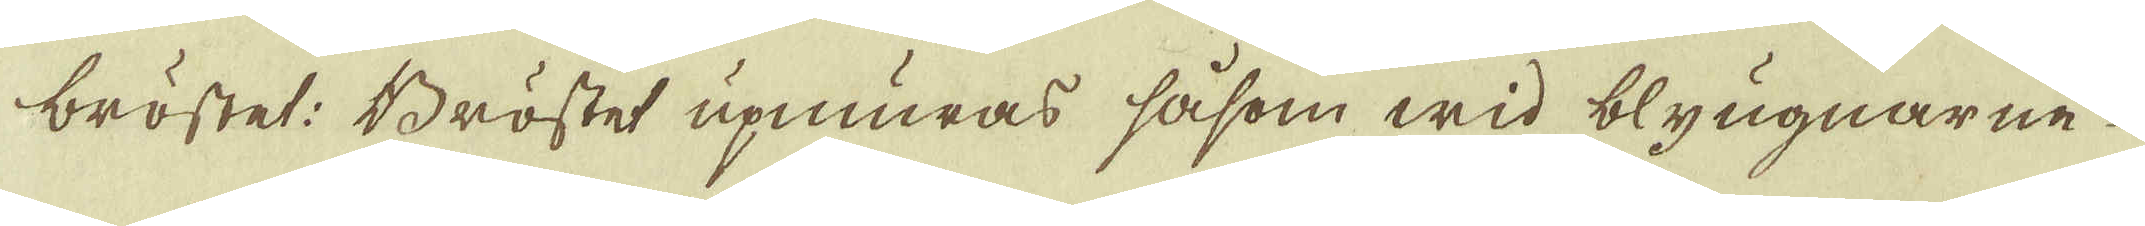bröstet: Bröstet upmuras såsom wid blyugnarne
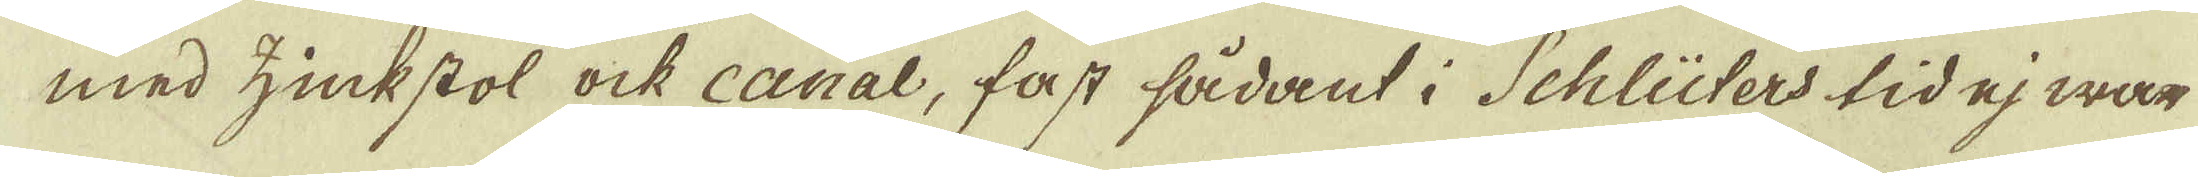med zinkstol ock canal, fast sådant i Schlüters tid ej wara
